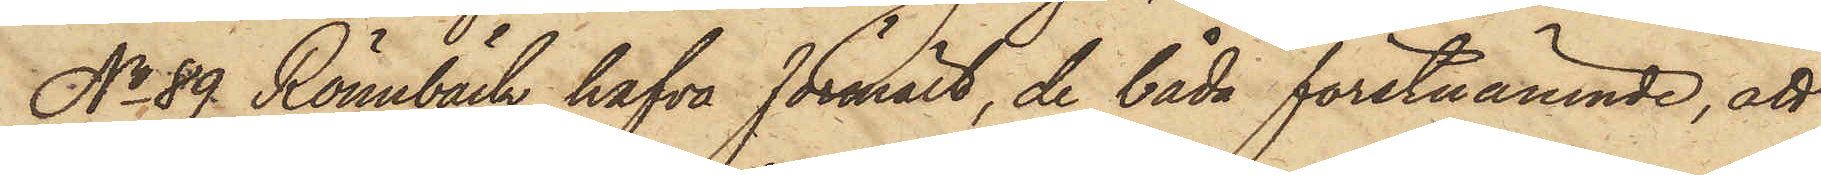No 89 Rönnbäck hafva förmält, de båda förstnämnde, att
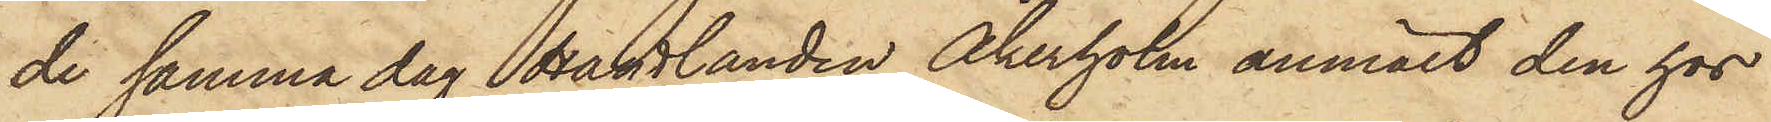de samma dag Handlanden Åkerholm anmält den hos
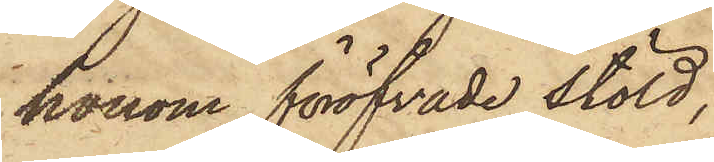honom föröfvade stöld,
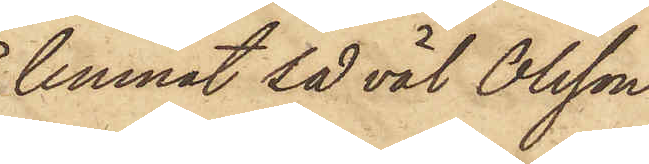lemnat så väl Olsson
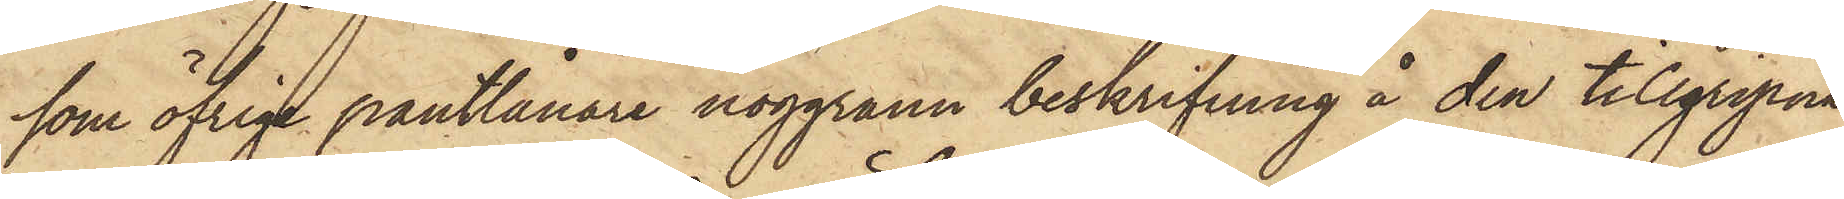som öfrige pantlånare noggrann beskrifning å den tillgripna
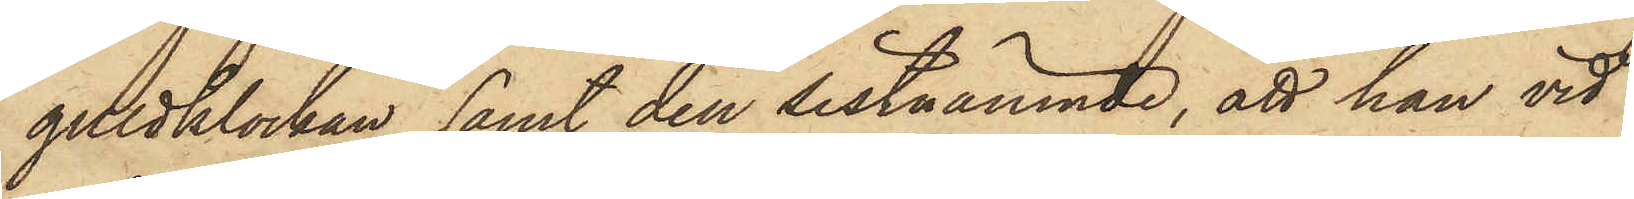guldklockan samt den sistnämnde, att han vid
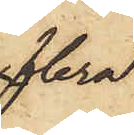flera
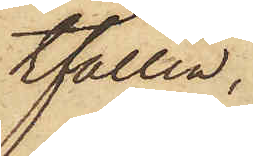tfällen,
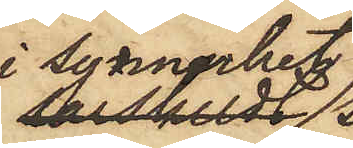i synnerhet
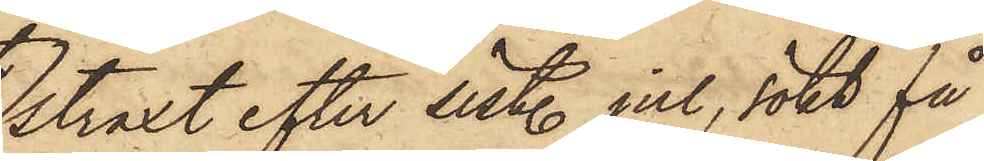straxt efter sist. jul, sökt få
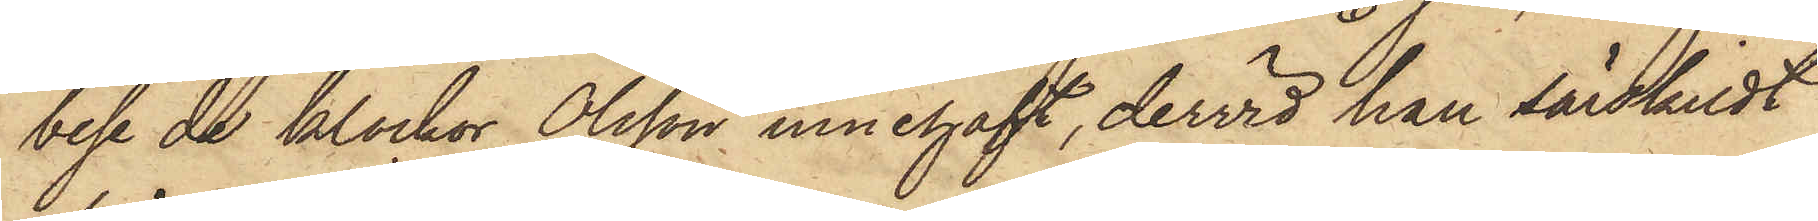bese de klockor Olsson innehaft, dervid han särskildt
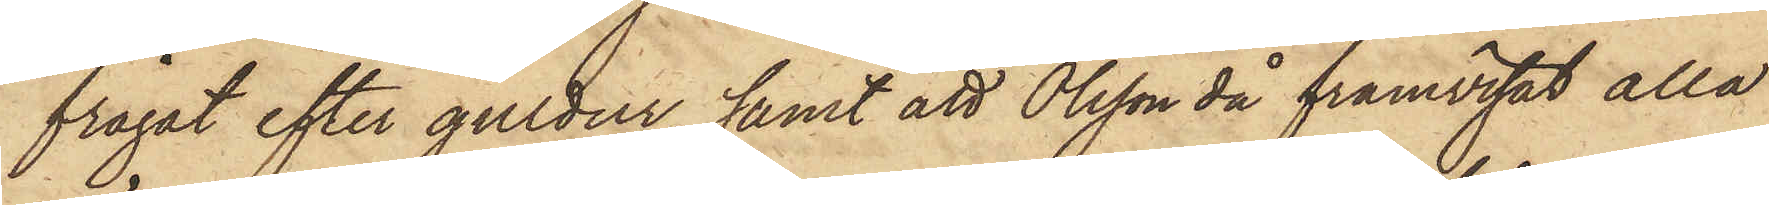frågat efter guldur, samt att Olsson då framvisat alla
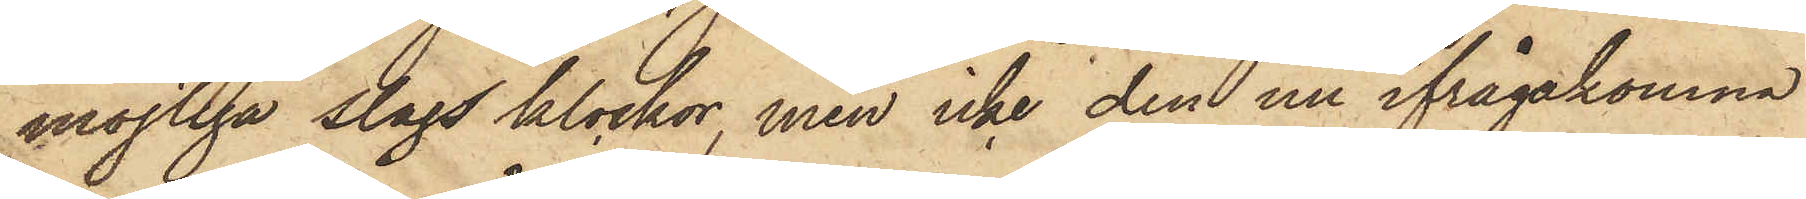möjliga slags klockor, men icke den nu ifrågakomna
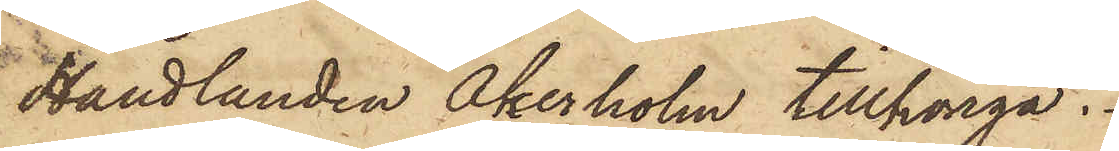Handlanden Åkerholm tillhöriga.
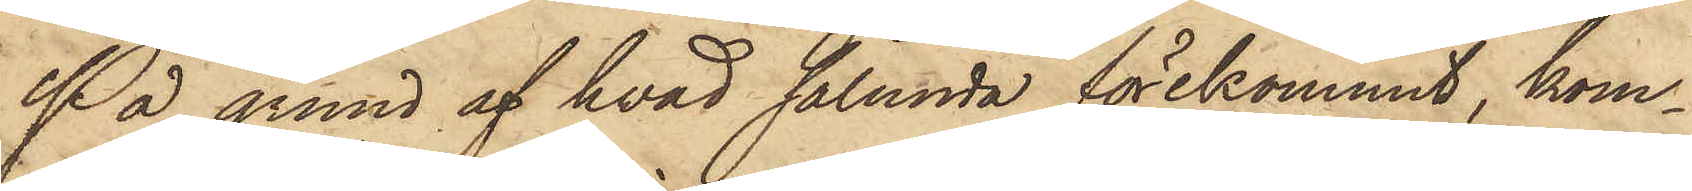På grund af hvad sålunda förekommit, kom¬
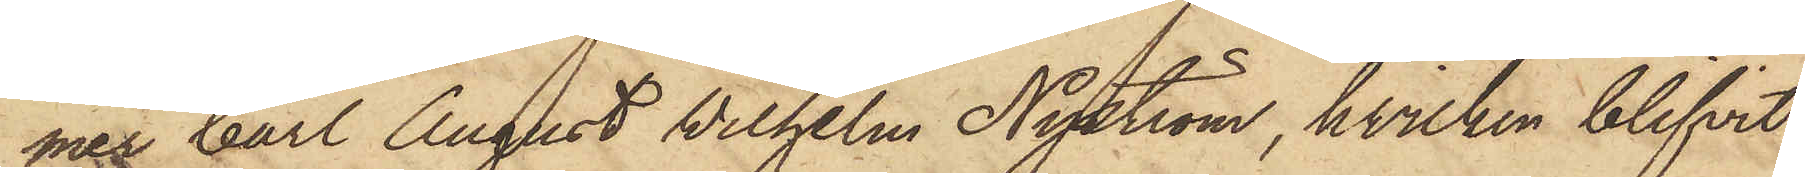mer Carl August Wilhelm Nyström, hvilken blifvit
